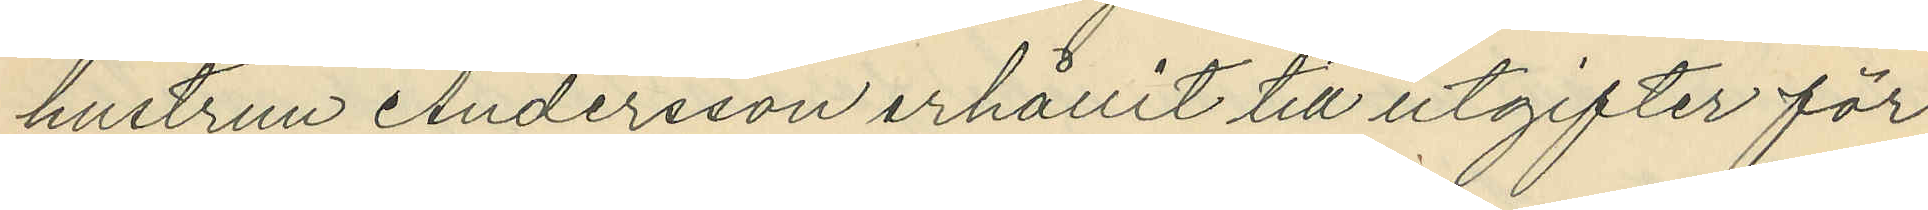hustrun Andersson erhållit till utgifter för
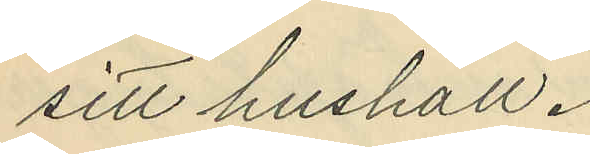sitt hushåll.
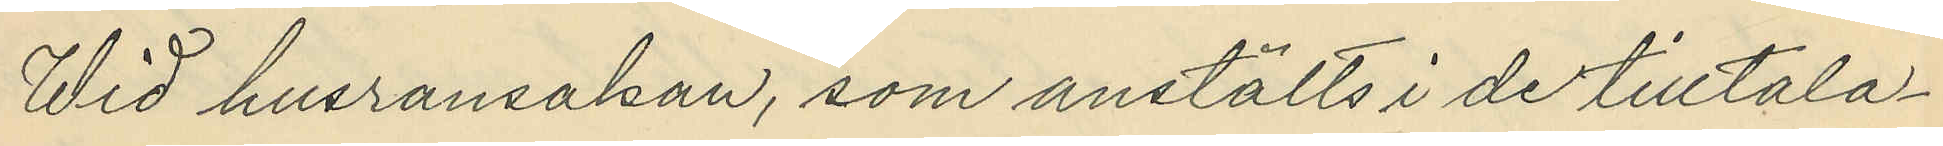Wid husransakan, som anstälts i de tilltala¬
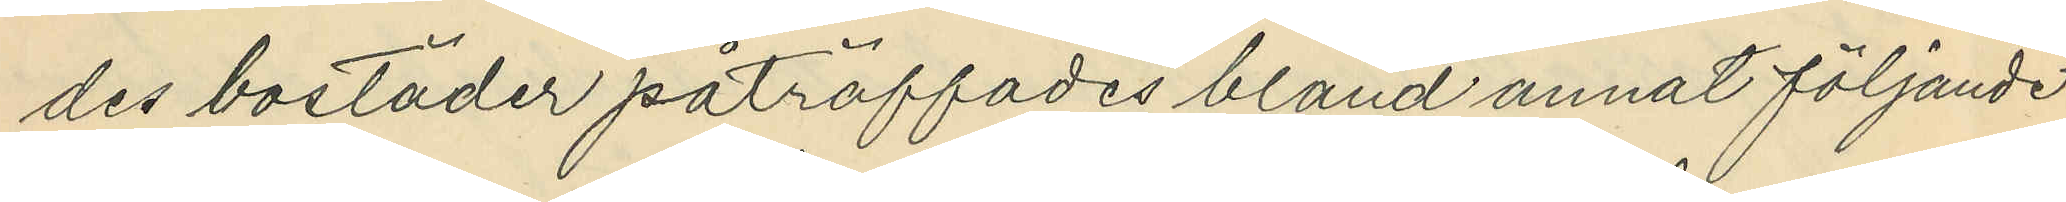des bostäder påträffades bland annat följande
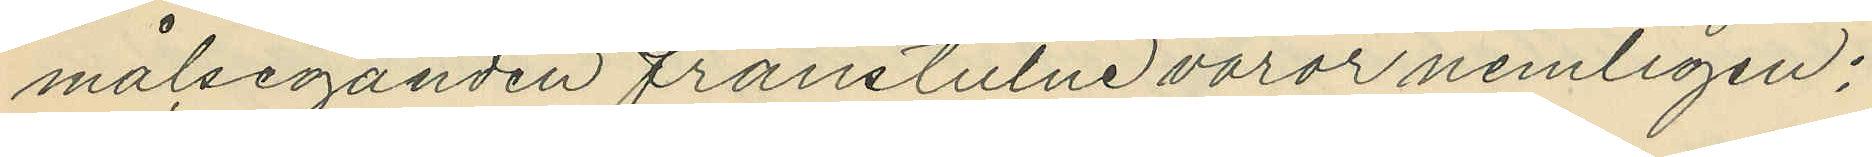målseganden frånstulne varor nemligen;
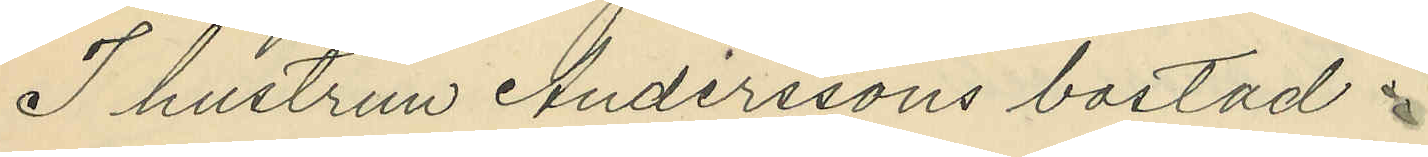I hustrun Anderssons bostad.
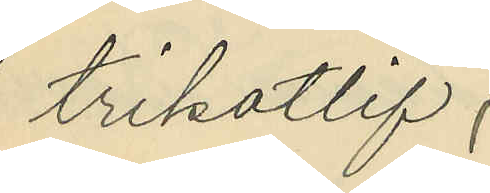1 trikotlif,
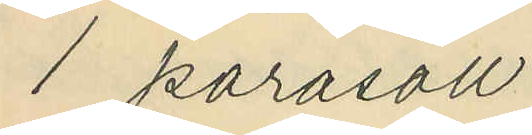1 parasoll,
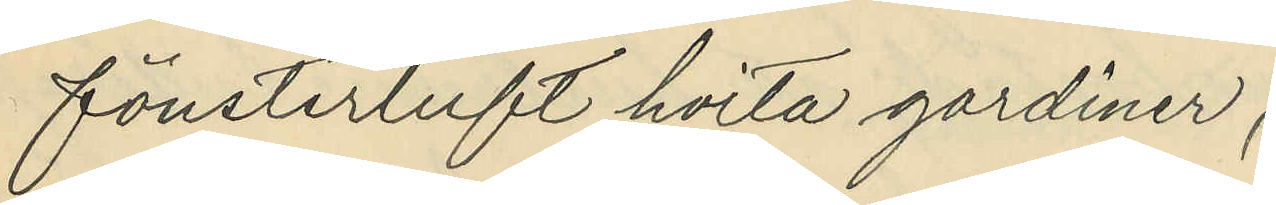1 fönsterluft hvita gardiner,
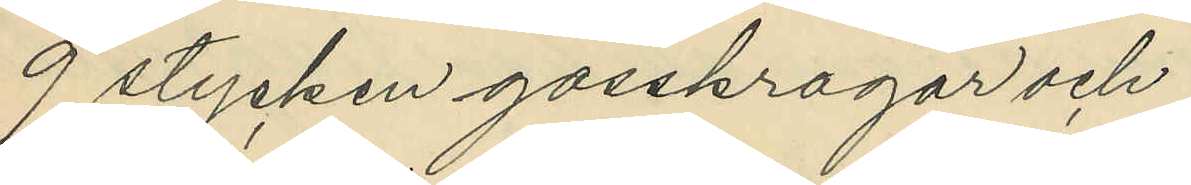9 stycken gosskragar och
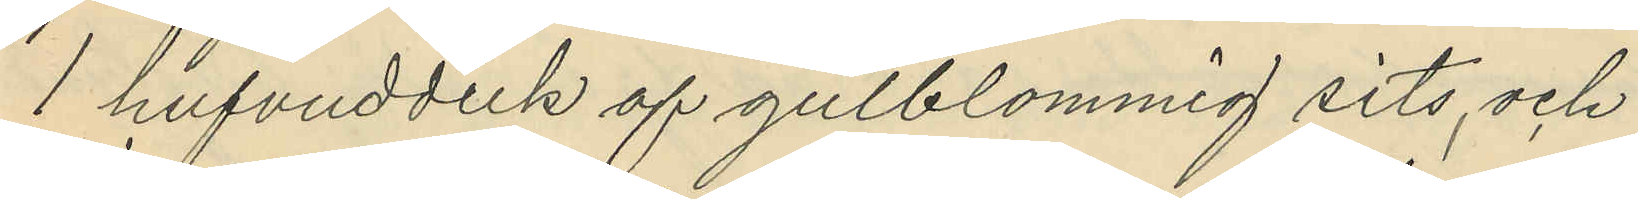1 hufvudduk af gulblommig sits, och
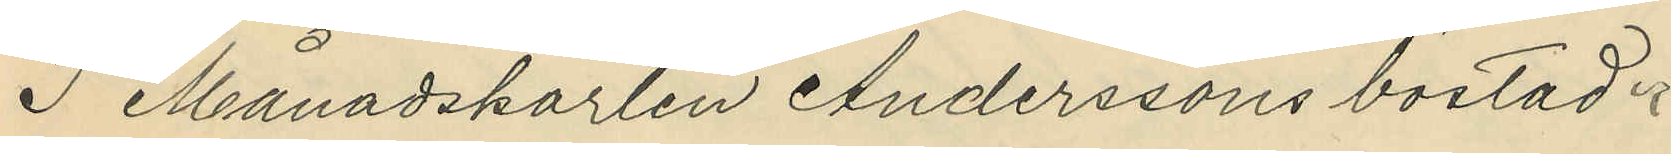I Månadskarlen Anderssons bostad.
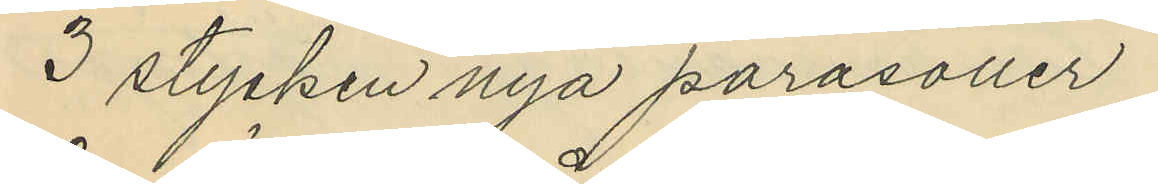3 stycken nya parasoller,
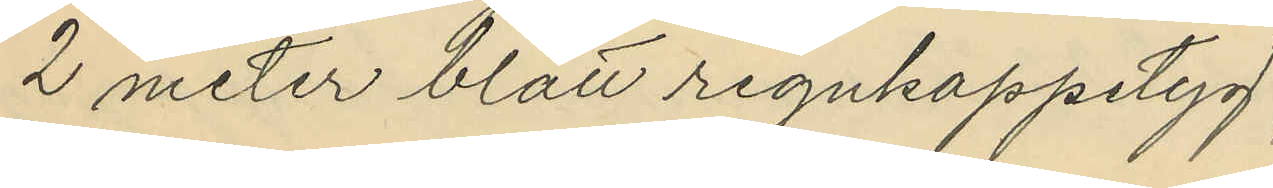2 meter blått regnkappetyg,
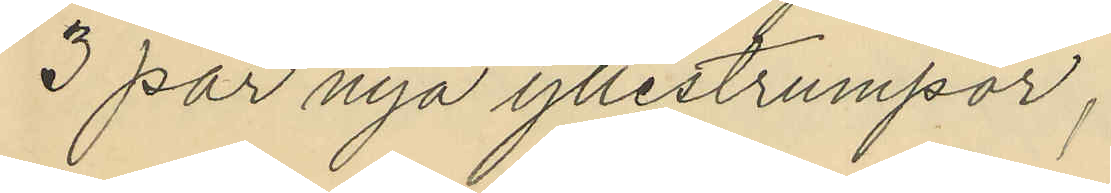3 par nya yllestrumpor,
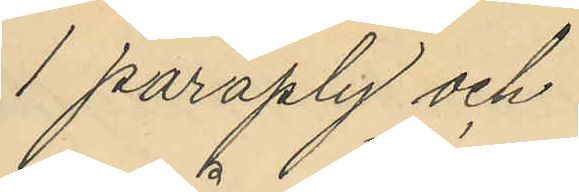1 paraply och
